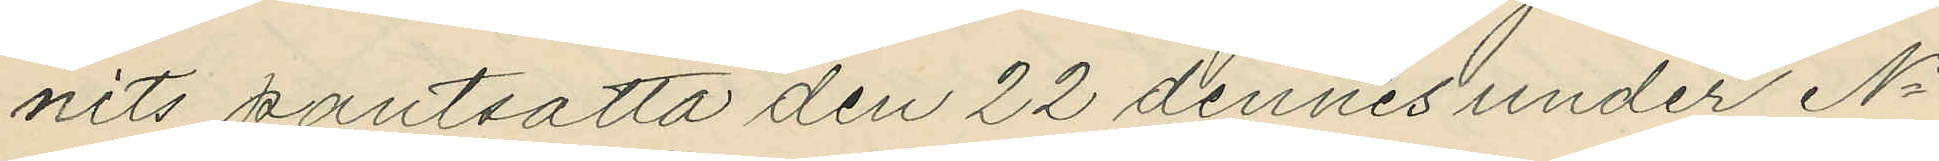nits pantsatta den 22 dennes under No
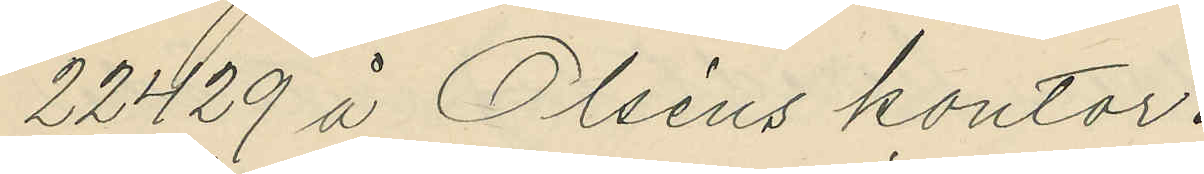22429 å Olséns kontor.
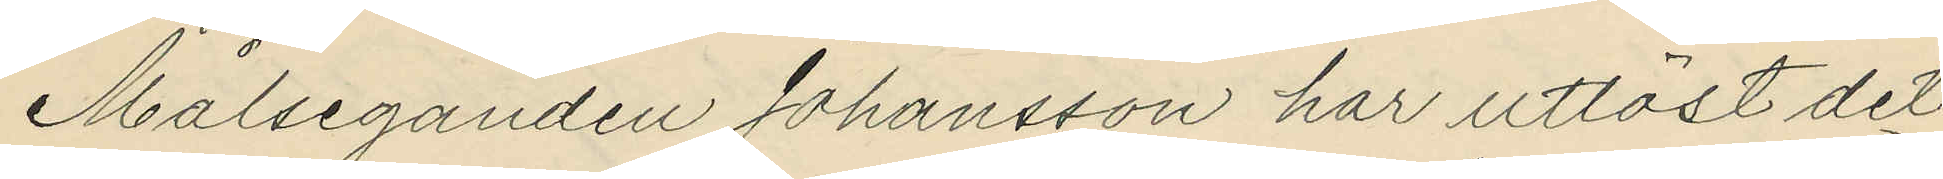Målseganden Johansson har utlöst det
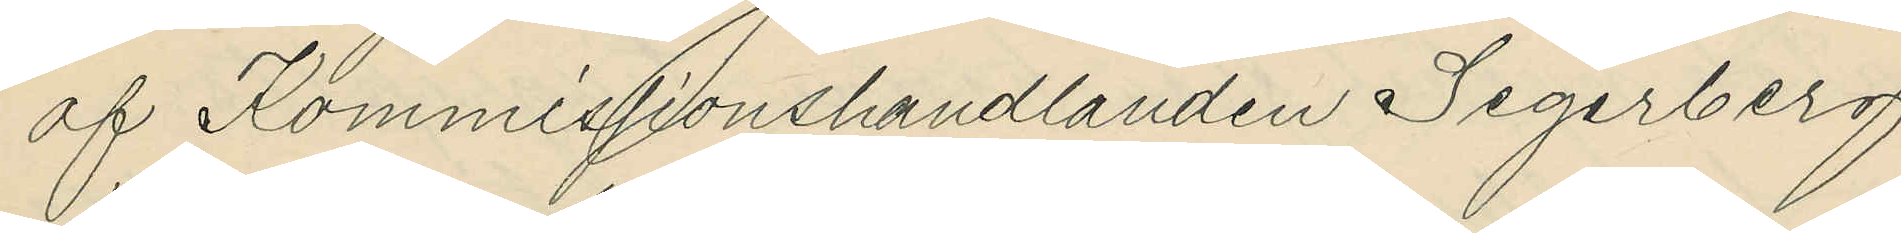af Kommissionshandlanden Segerberg
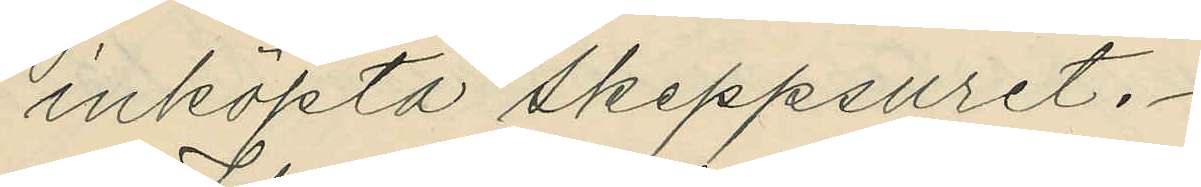inköpta skeppsuret.
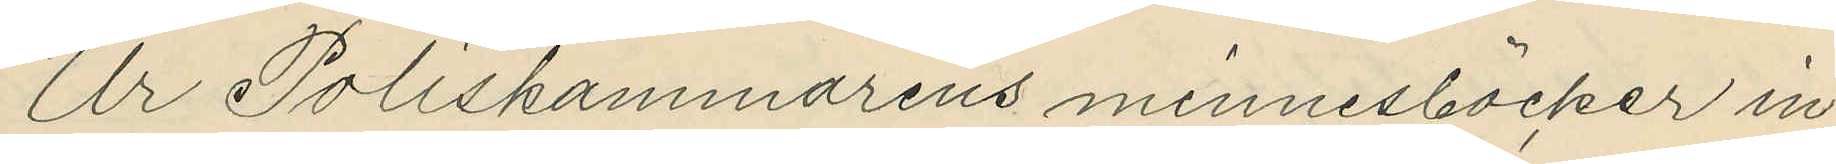Ur Poliskammarens minnesböcker in¬
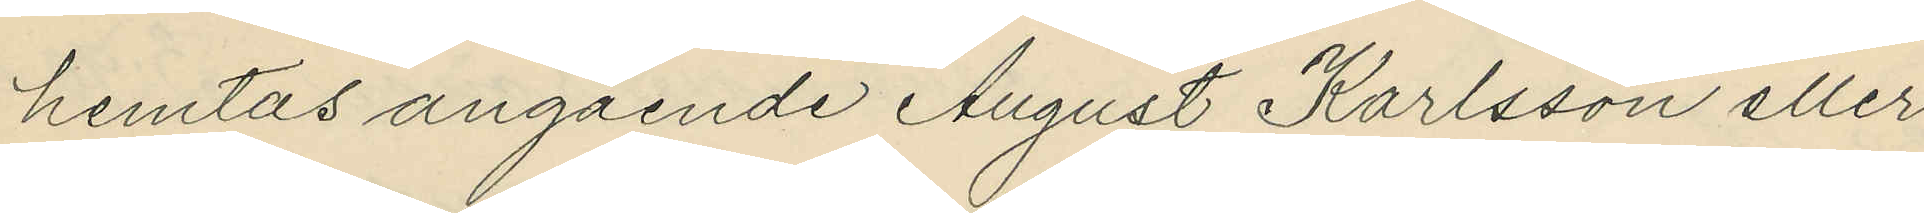hemtas angående August Karlsson eller
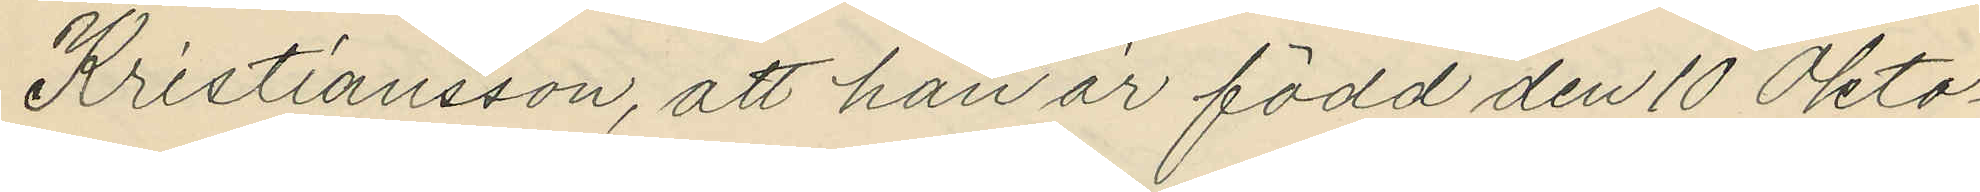Kristiansson, att han är född den 10 Okto¬
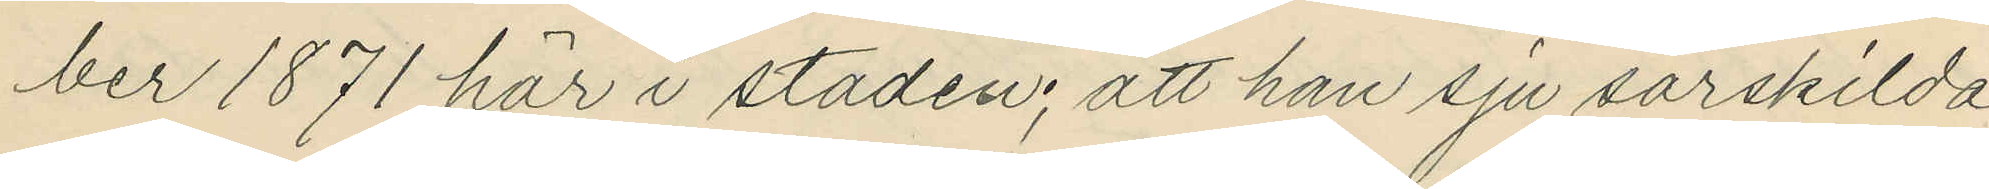ber 1871 här i staden; att han sju särskilda
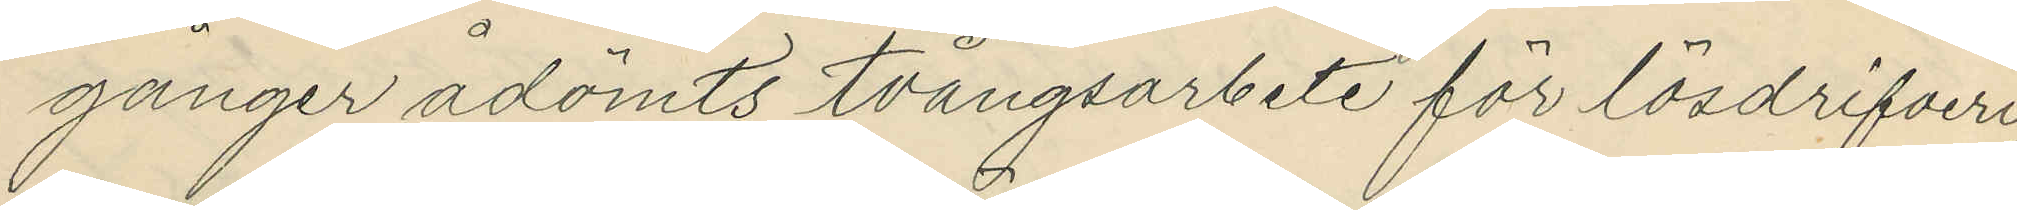gånger ådömts tvångsarbete för lösdrifveri;
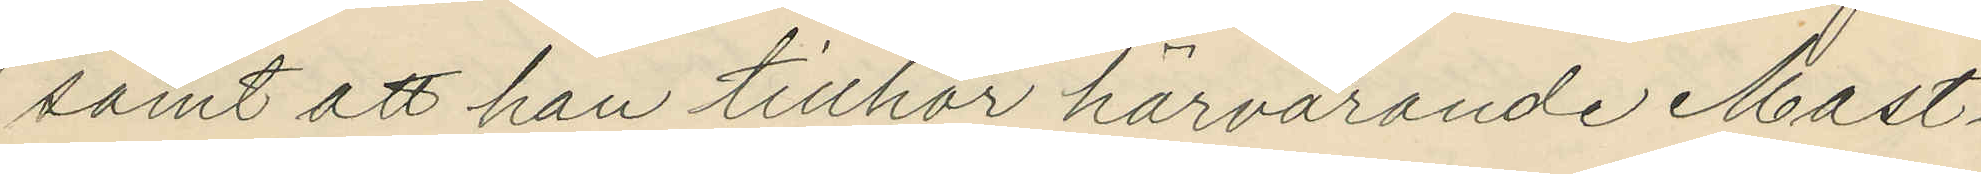samt att han tillhör härvarande Mast¬
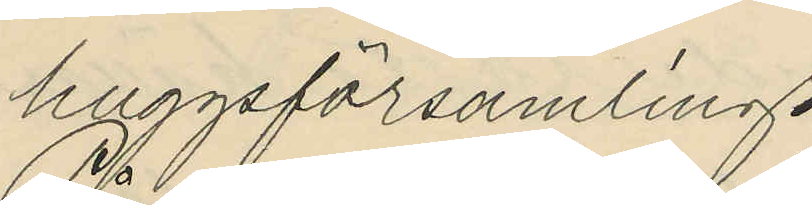huggsförsamling.
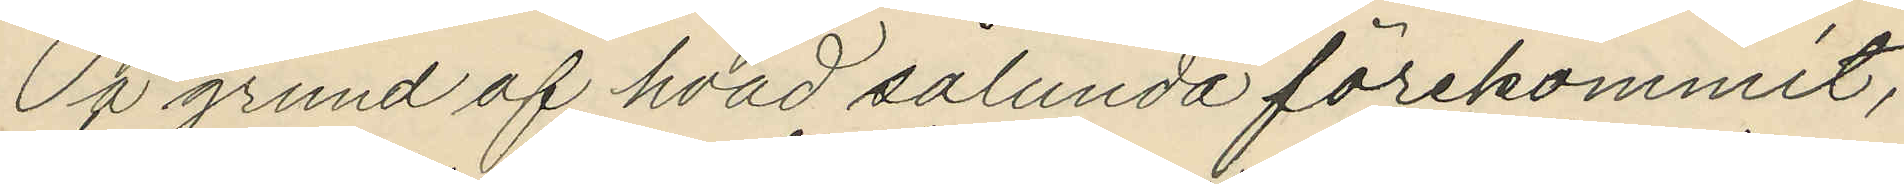På grund af hvad sålunda förekommit,
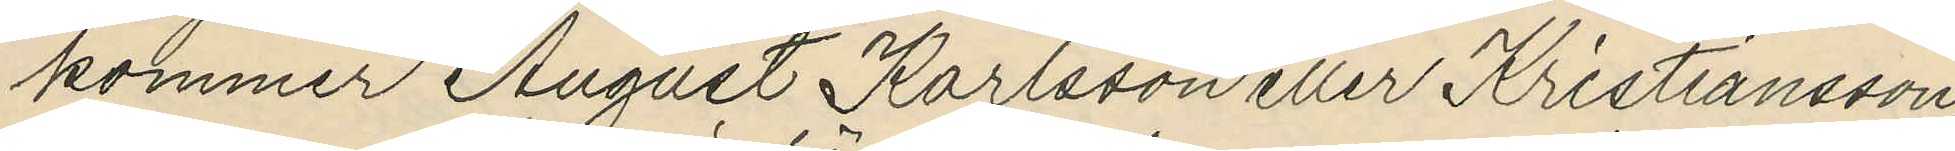kommer August Karlsson eller Kristiansson,
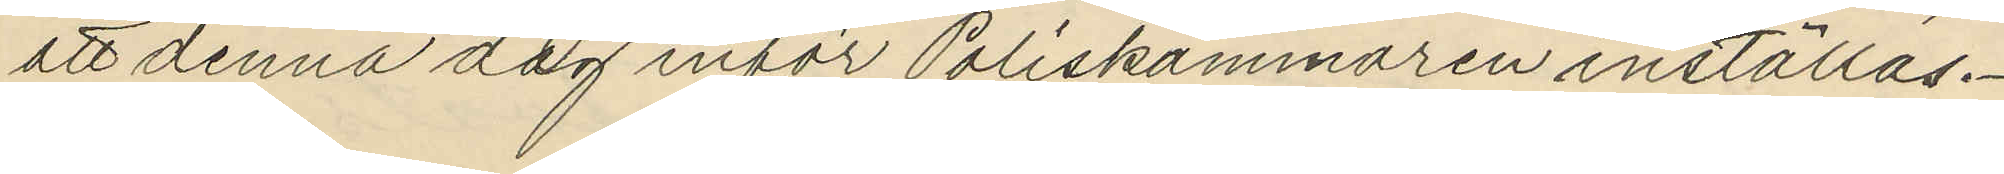att denna dag inför Poliskammaren inställas.
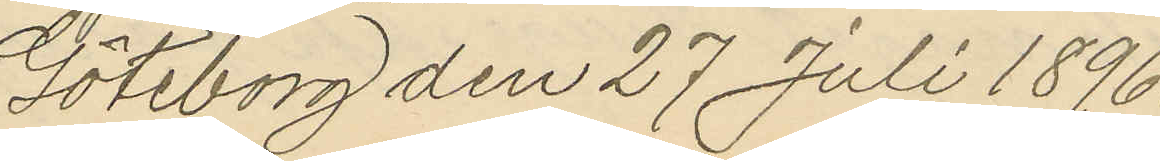Göteborg den 27 Juli 1896.
